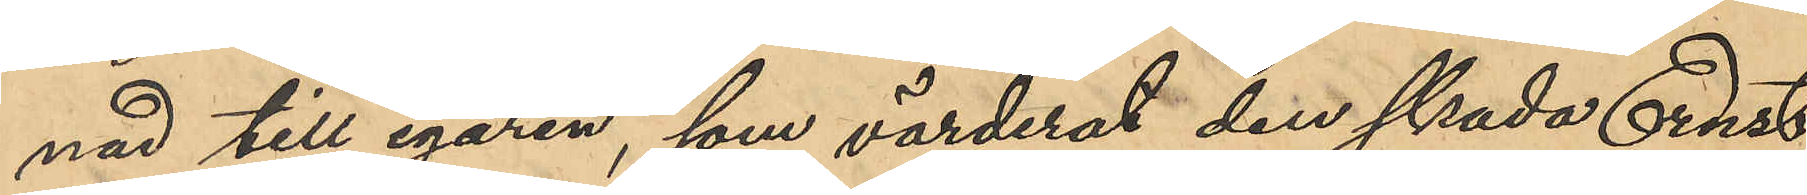nad till egaren, som värderat den skada Ernst
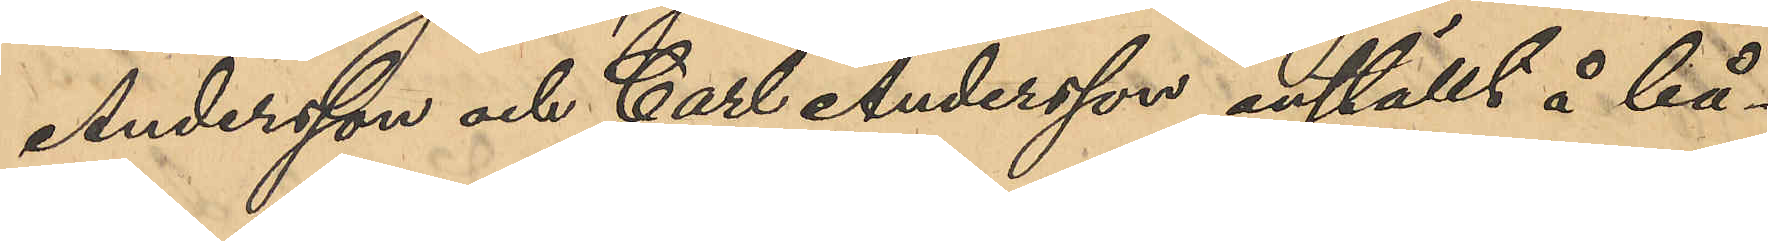Andersson och Carl Andersson anställt å bå¬
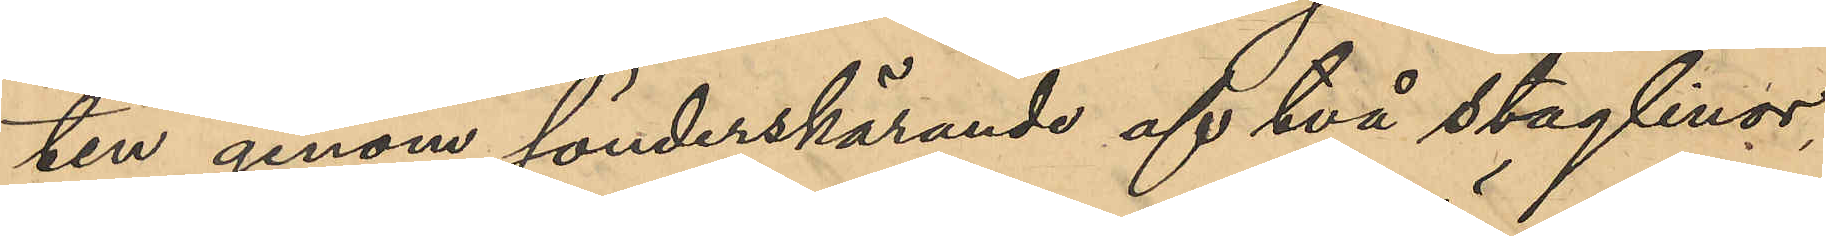ten genom sönderskärande af två staglinor,
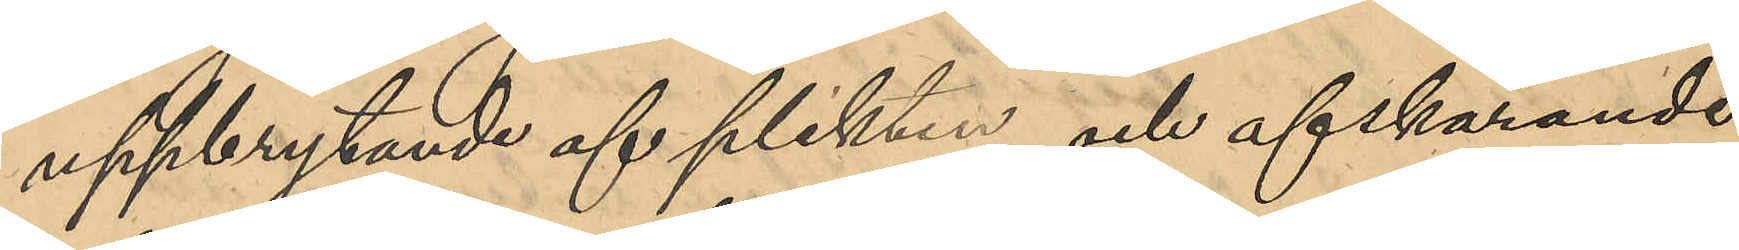uppbrytanden av plikten och afskärande
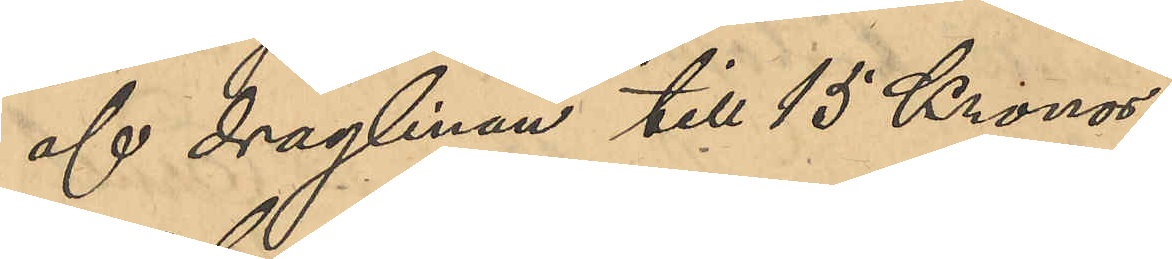af draglinan till 15 Kronor.
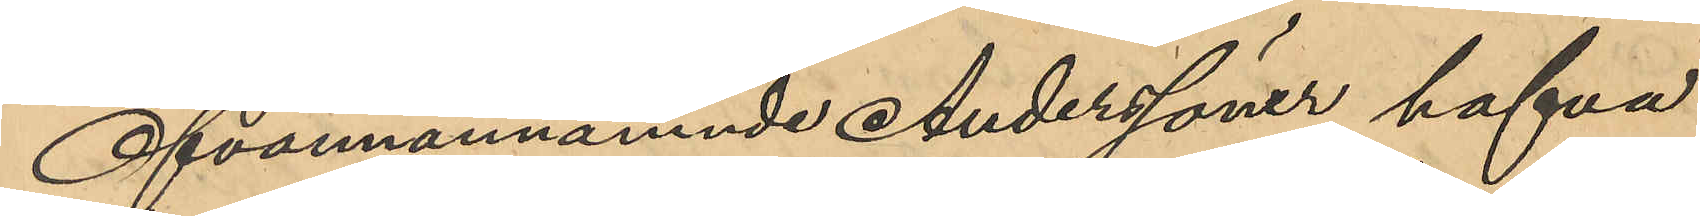Ofvannämnde Anderssöner hafva
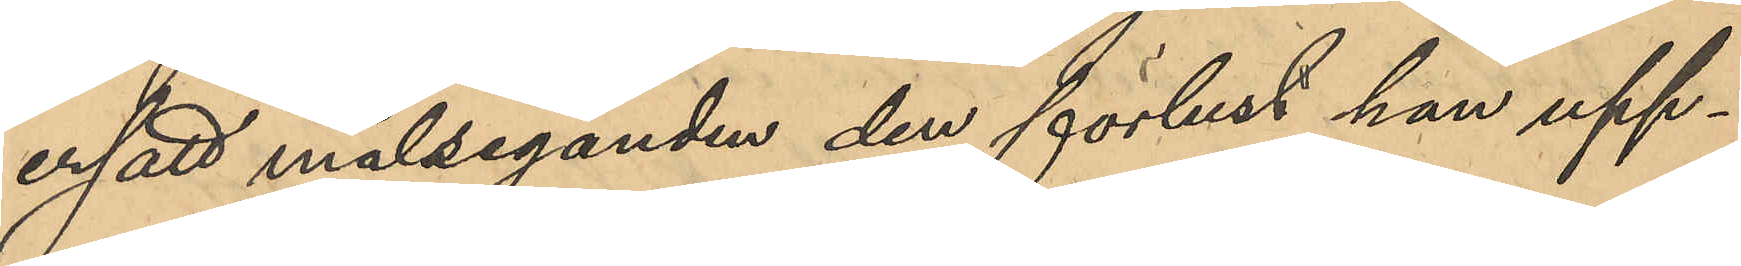ersatt målseganden den förlust han upp¬
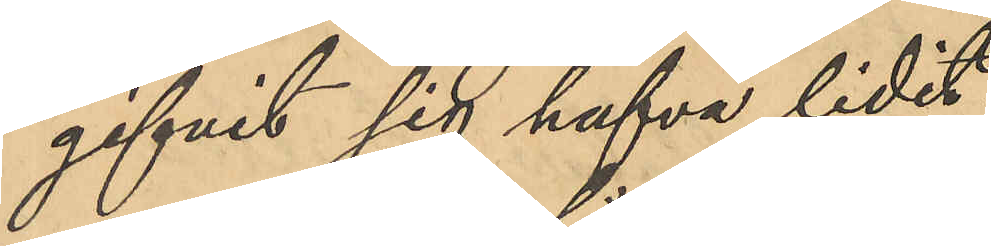gifvit sig hafva lidit.
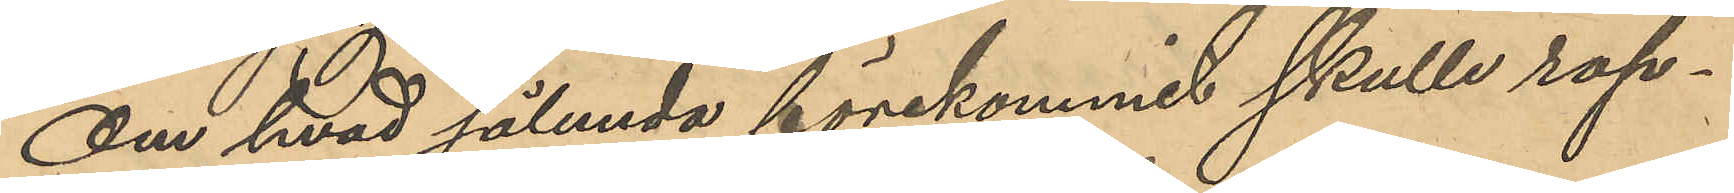Om hvad sålunda förekommit skulle rap¬
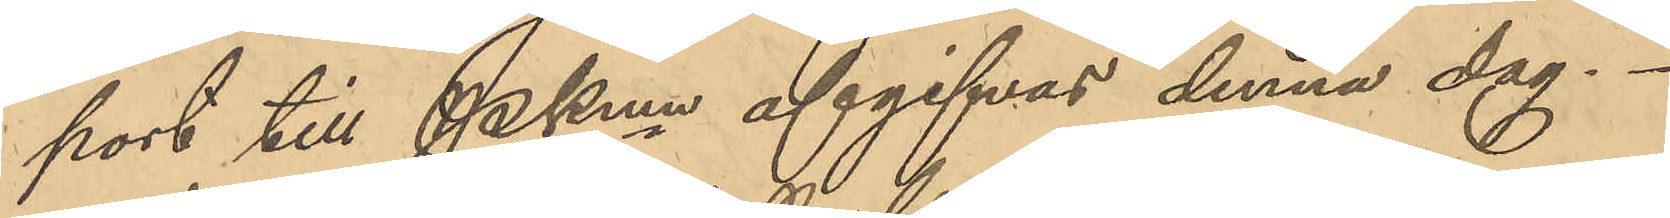port till Pkmn afgifvas denna dag.
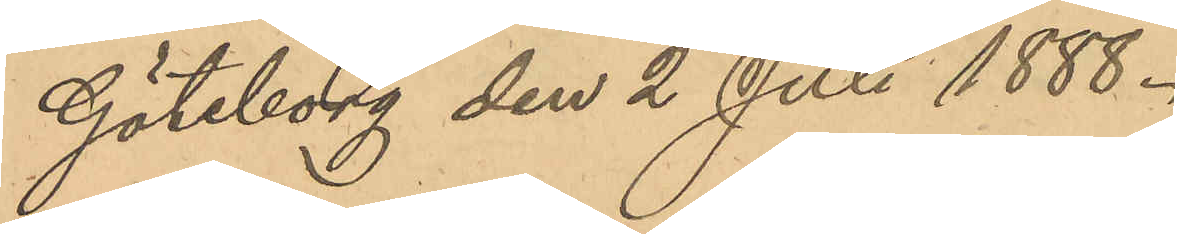Göteborg den 2 Juli 1888.
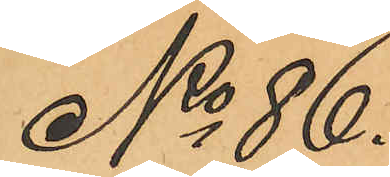No 86
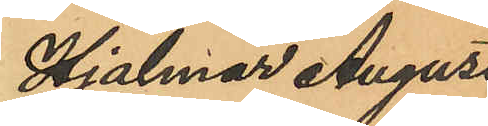Hjalmar August
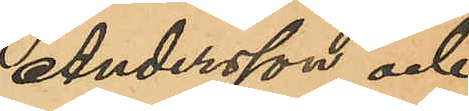Andersson och
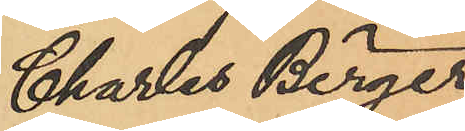Charles Birger
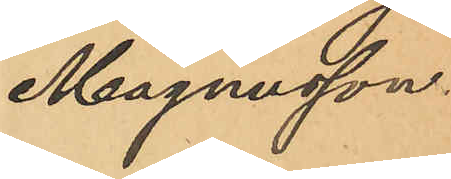Magnusson.
